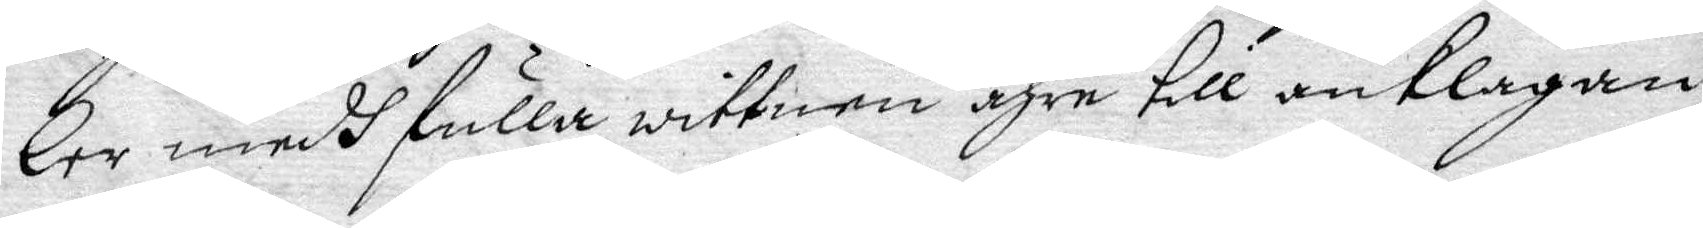ler medh fulla wittnen ähre till anklagan
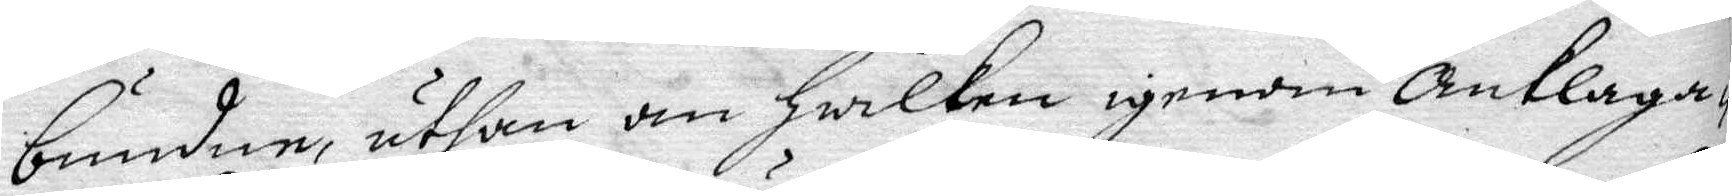bunden, uthan om Hwilken igenom anklaga¬
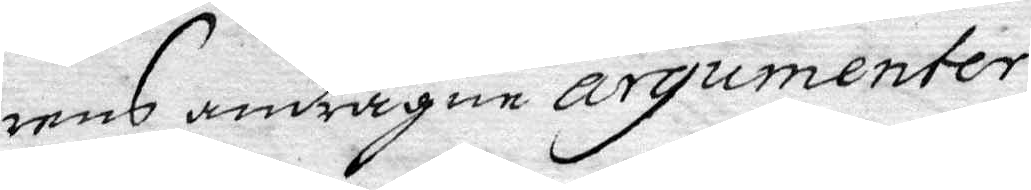rens andragne argumenter
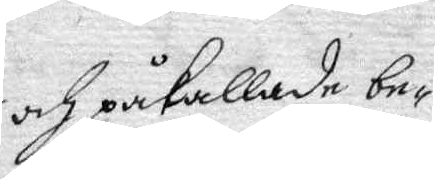och påkallade be¬
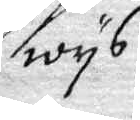wys
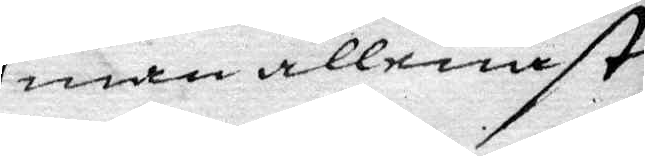man allenast
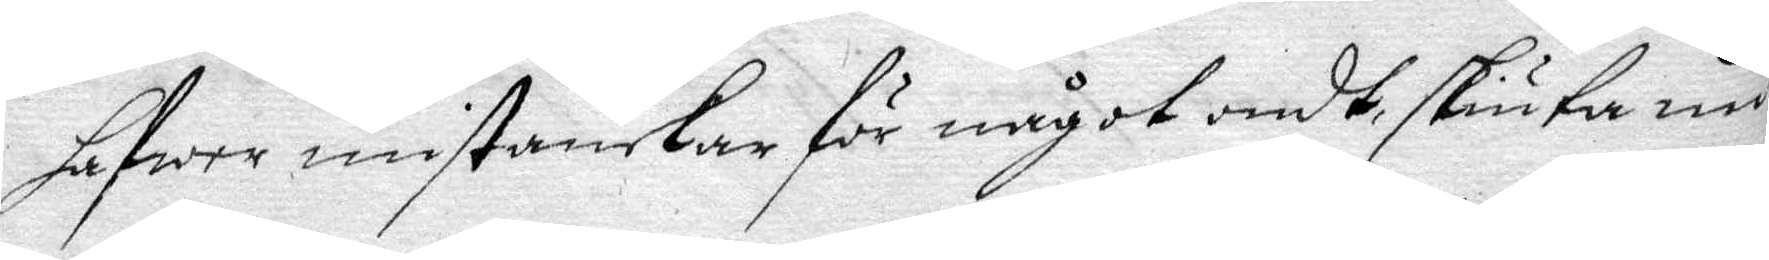Hafwa mistankar för något ondt skiuta nu 
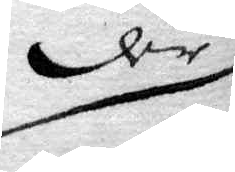der
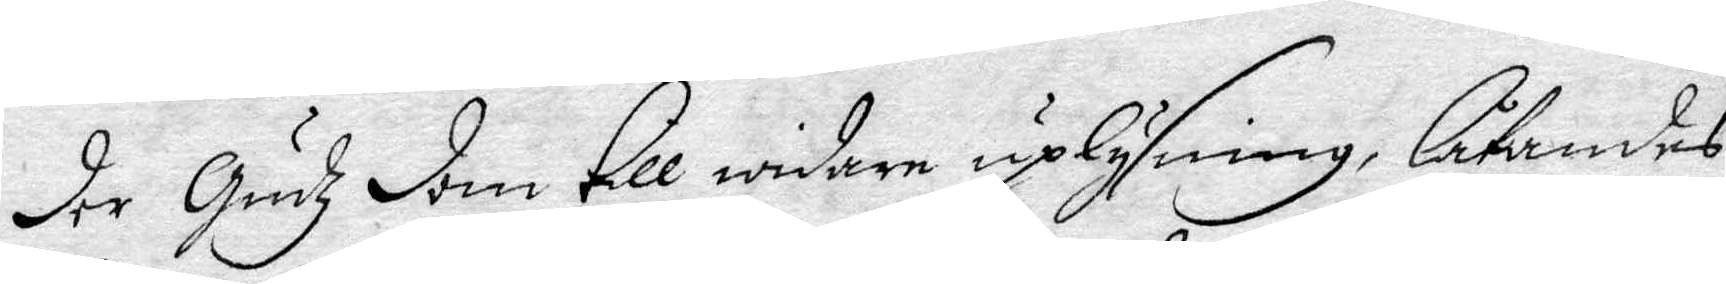der Gudz dom Till widare uplysning, låtandes
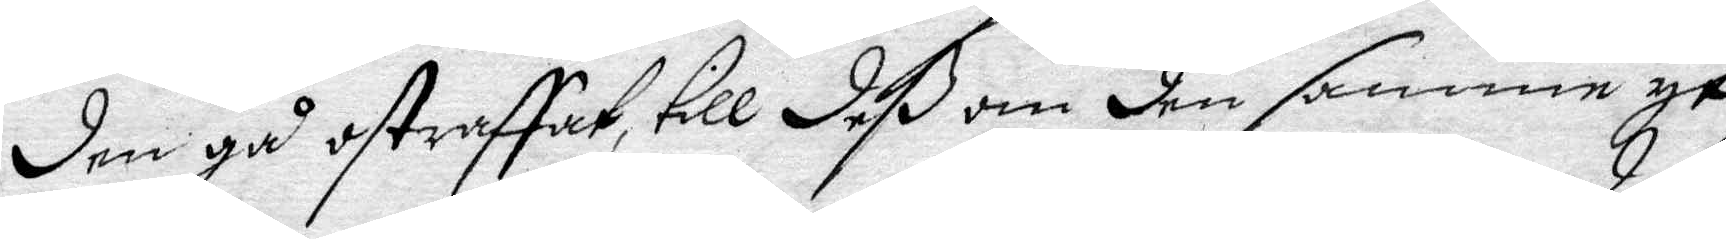den gå ostraffat. till deß om den samme yt¬
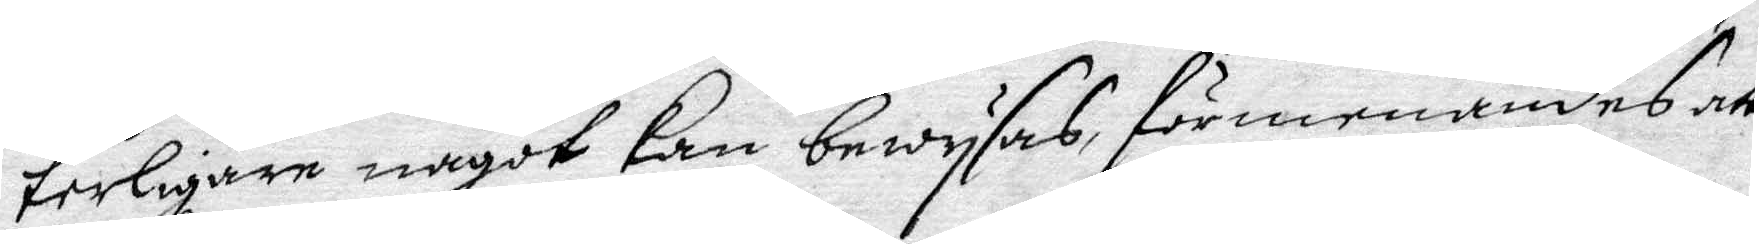terligare något kan bewysas, förmenandes att
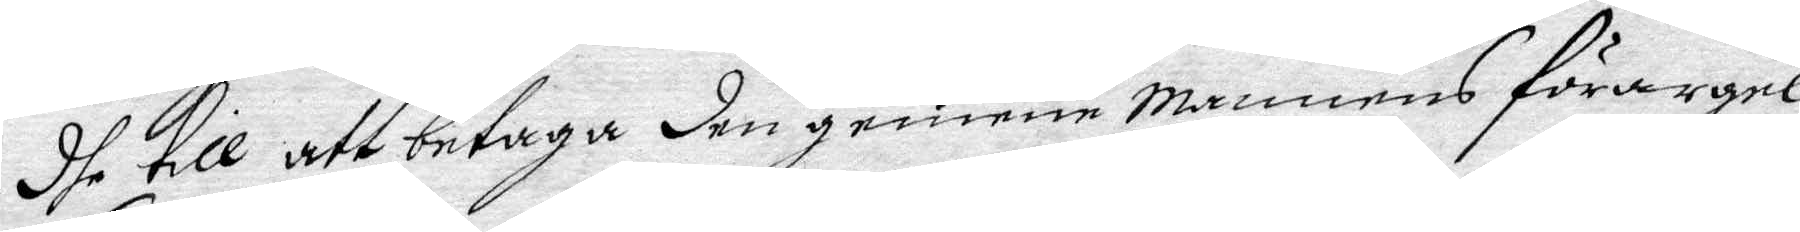dhe till att betaga den gemende Mannens förargel¬
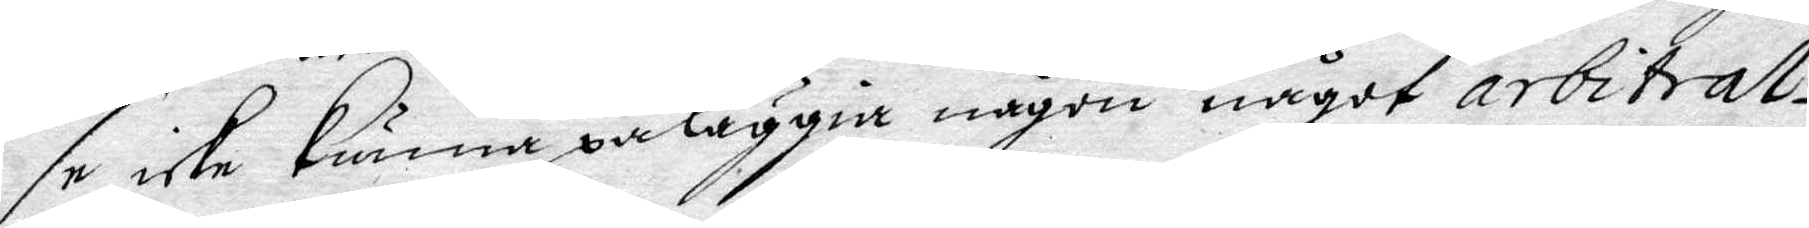se icke Kunna påläggia någon något arbitra¬
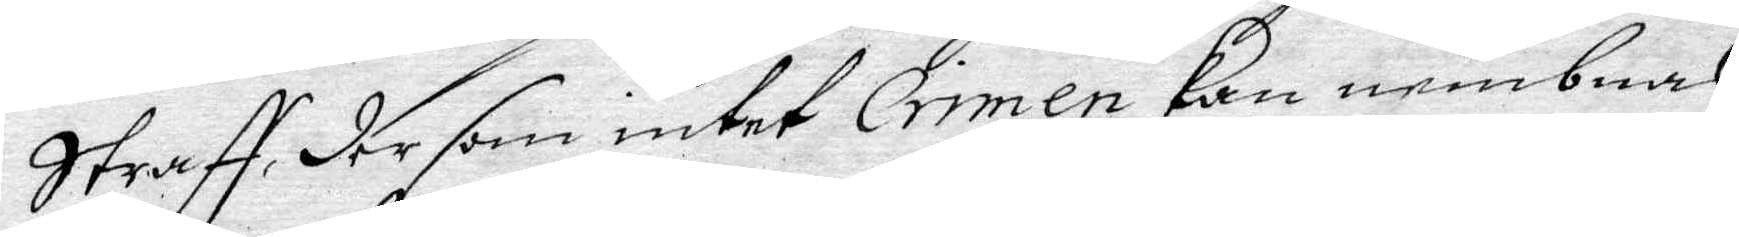straff, der som intet crimen Kan nembnas,
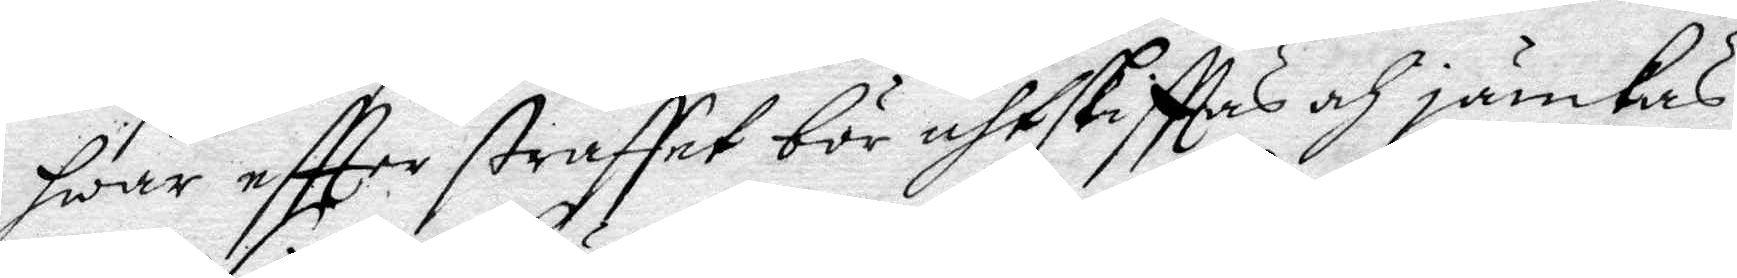hwar eftter straffet bör uhtskriffas och jämkas.
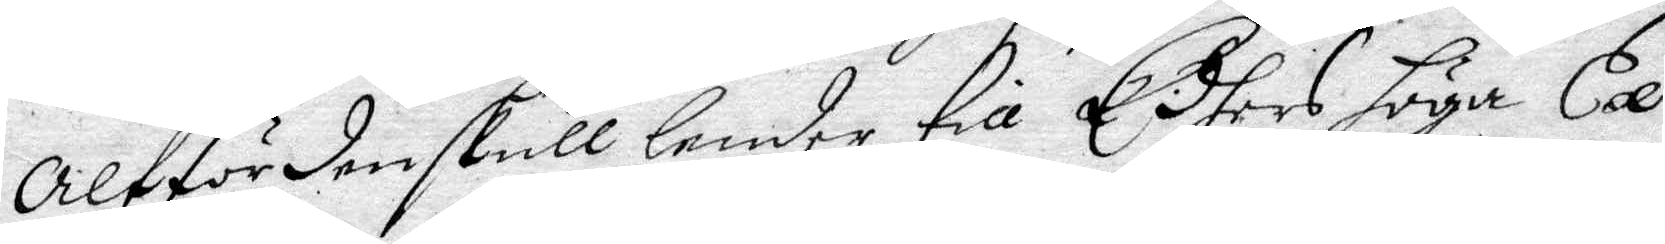altfördenskull lenda till Edhers höga Ex¬
